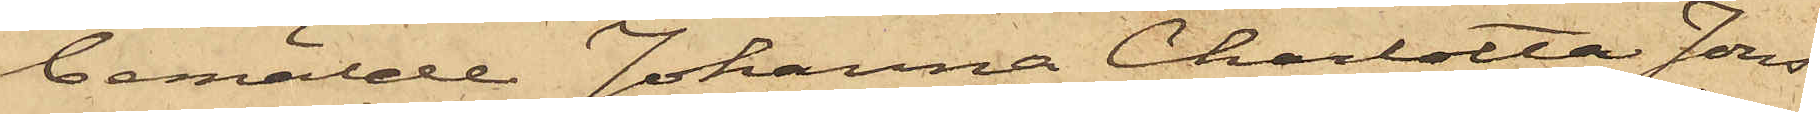bemälde Johanna Charlotta Jons¬
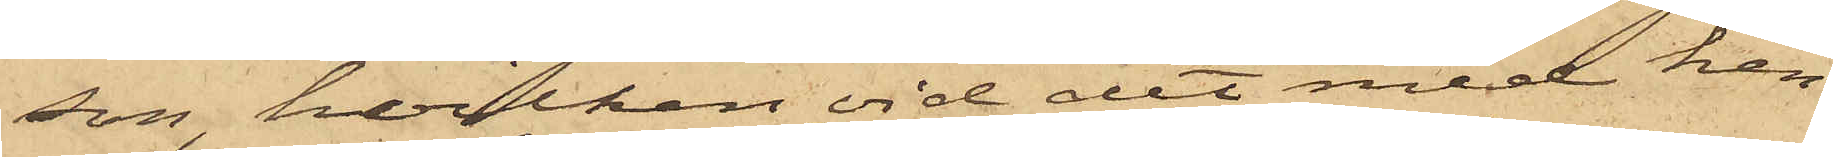son, hvilken vid det med hen¬
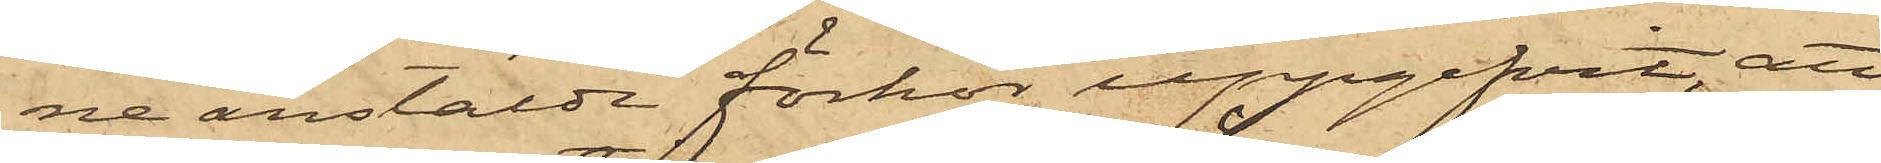ne anstäldt förhör uppgifvit, att
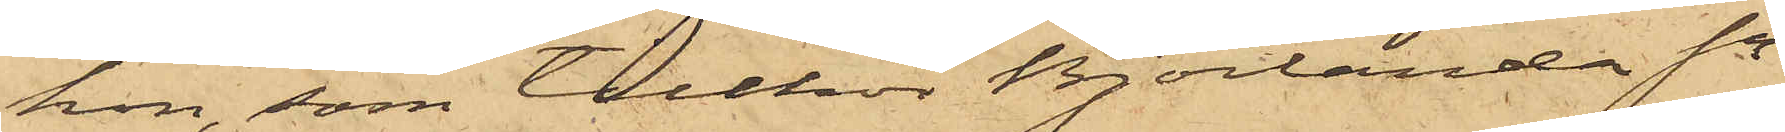hon, som tillhör Björlanda Sn
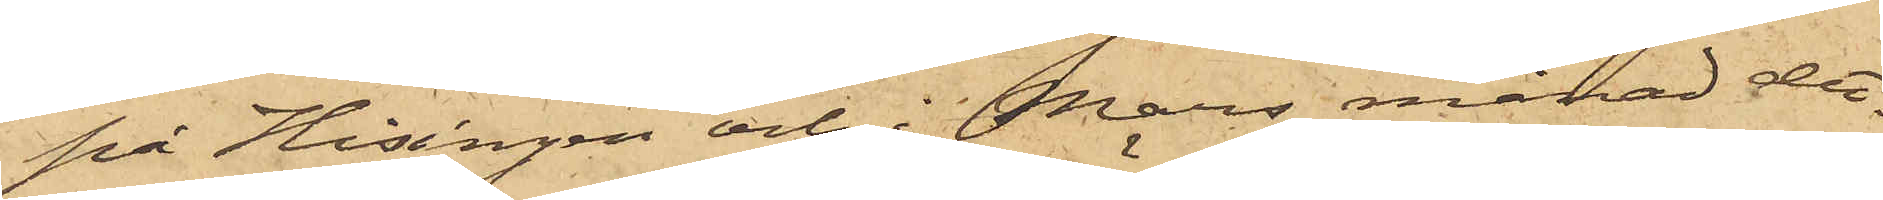på Hisingen och i Mars månad det¬
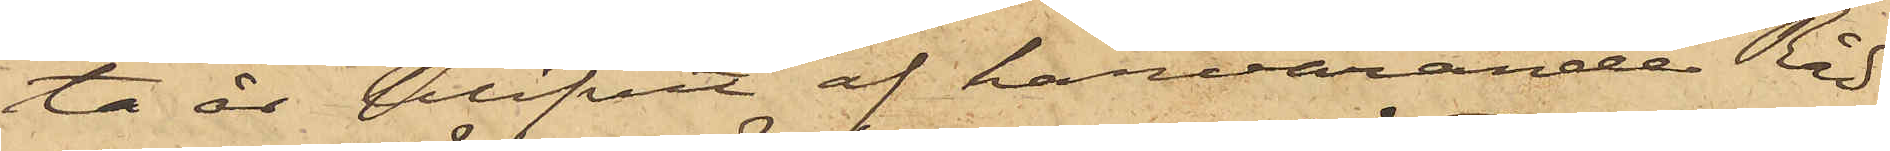ta år blifvit af härvarande Råd¬
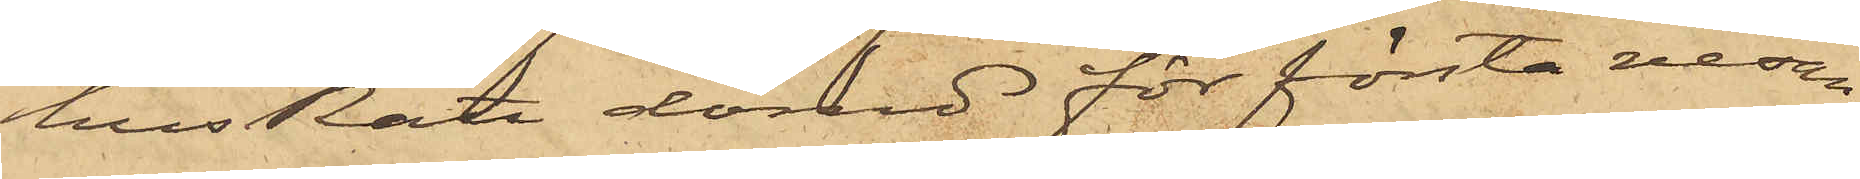hus Rätt dömd för första resan
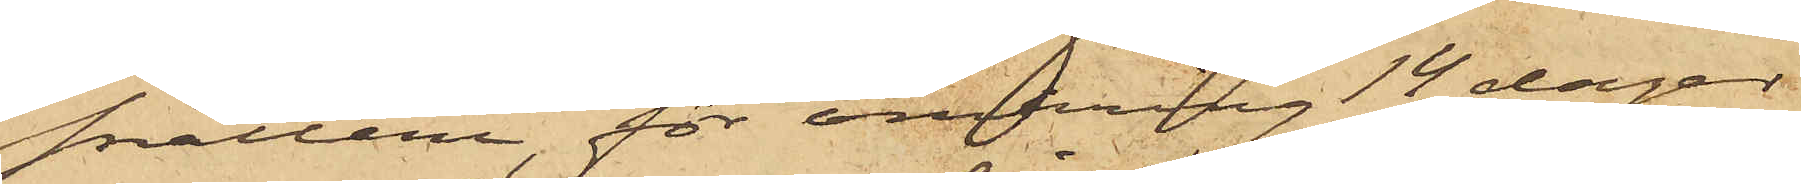snatteri, för omkring 14 dagar
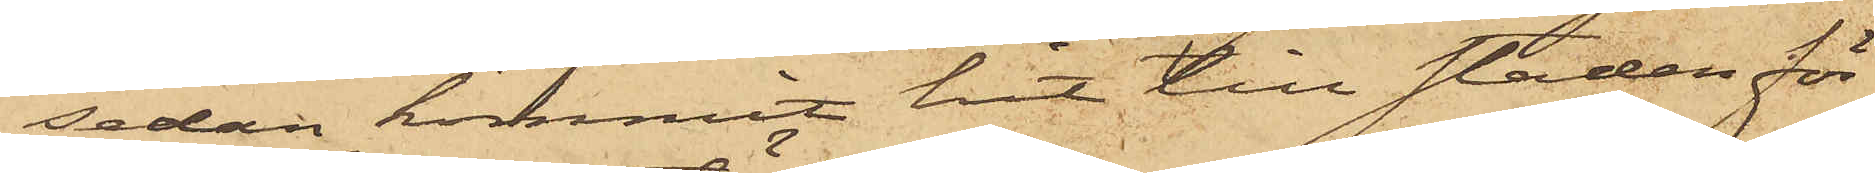sedan kommit hit till staden för
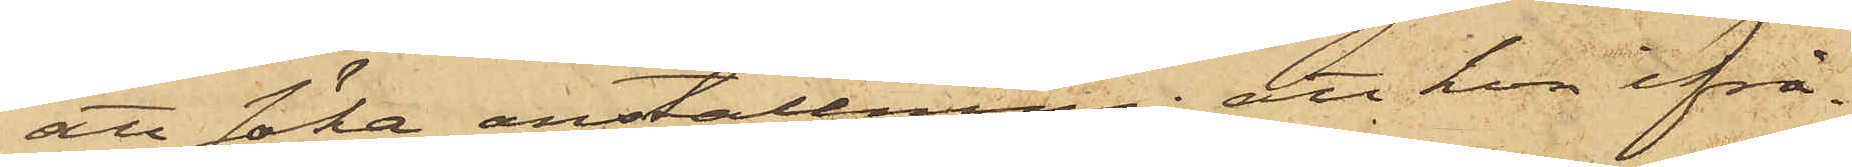att söka anställning; att hon ifrå¬
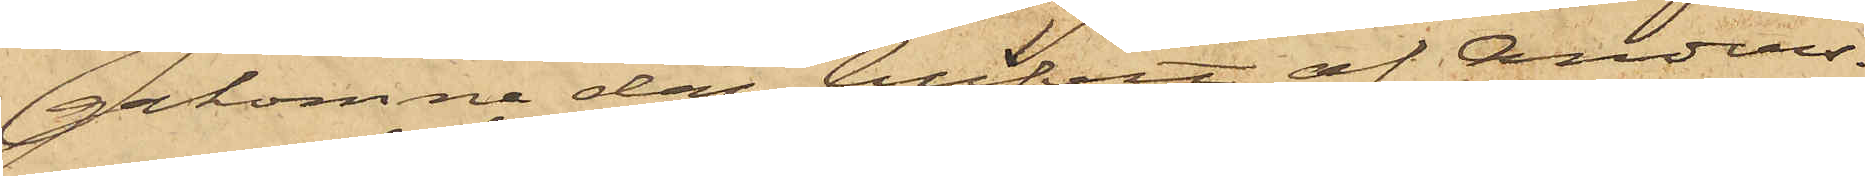gakomne dag blifvit af Anders¬
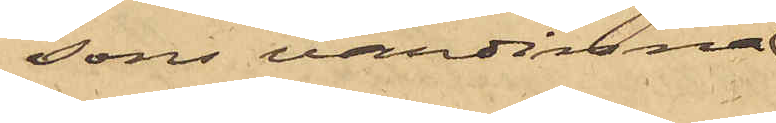sons värdinna
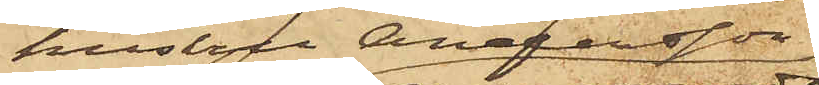hustru Andersson
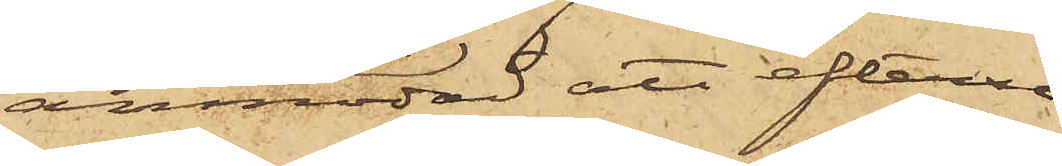anmodad att efterse
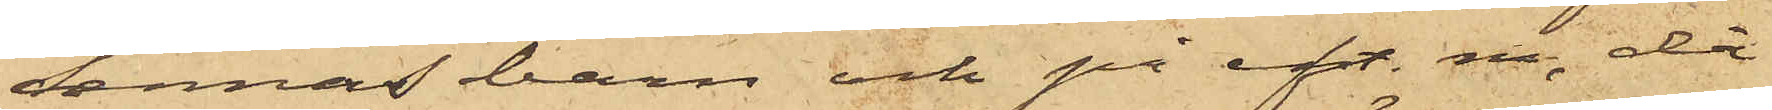dennas barn och på eft. m, då
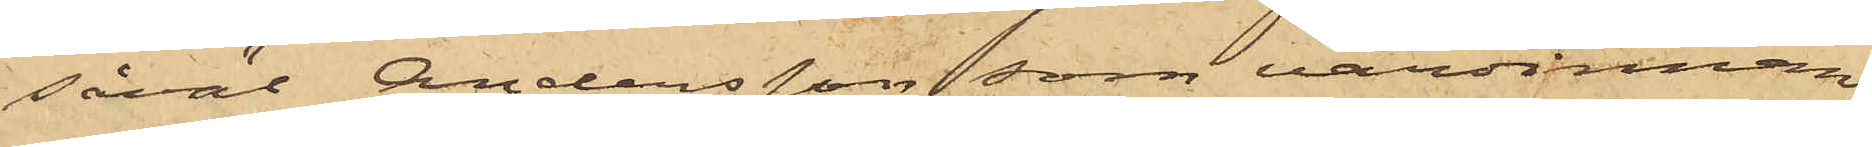såväl Andersson som värdinnan
